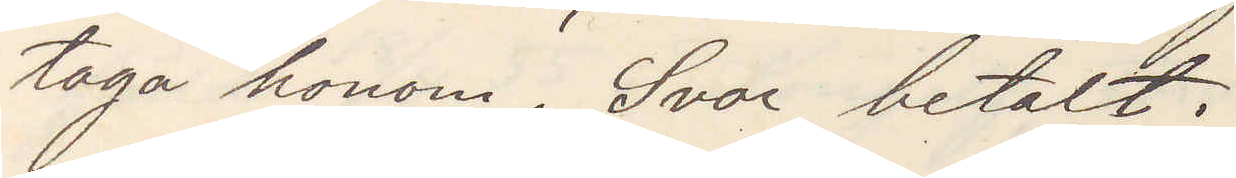taga honom. Svar betalt.
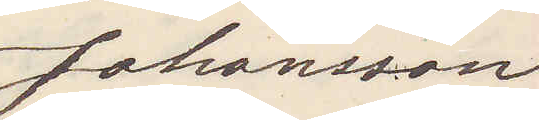Johansson
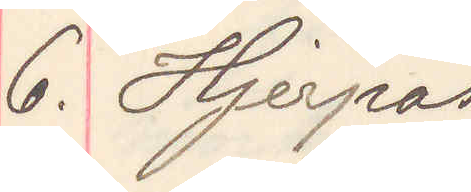6. Hjerpås
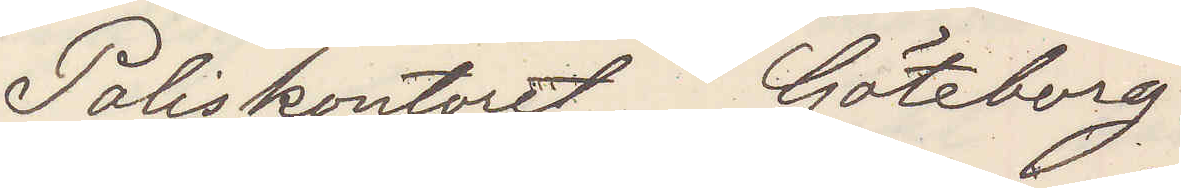Poliskontoret Göteborg
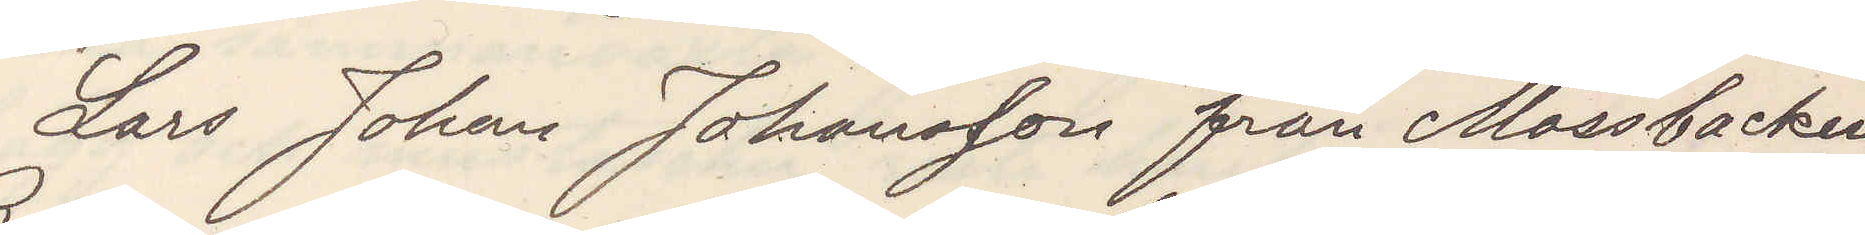Lars Johan Johansson från Mossbacken
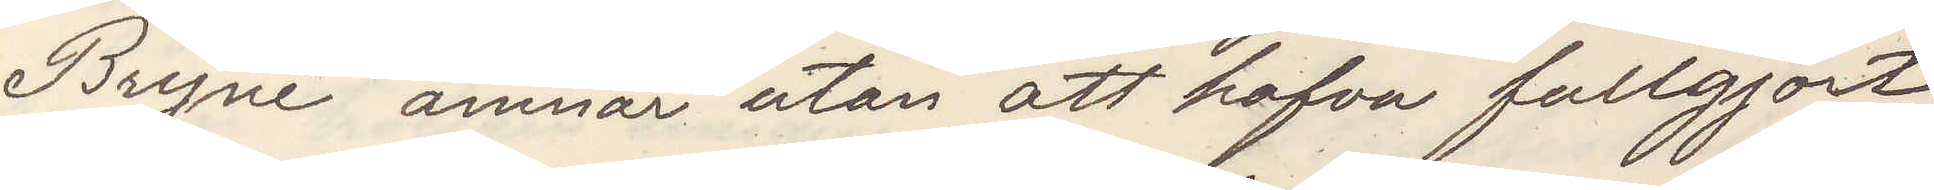Bryne ämnar utan att hafva fullgjort
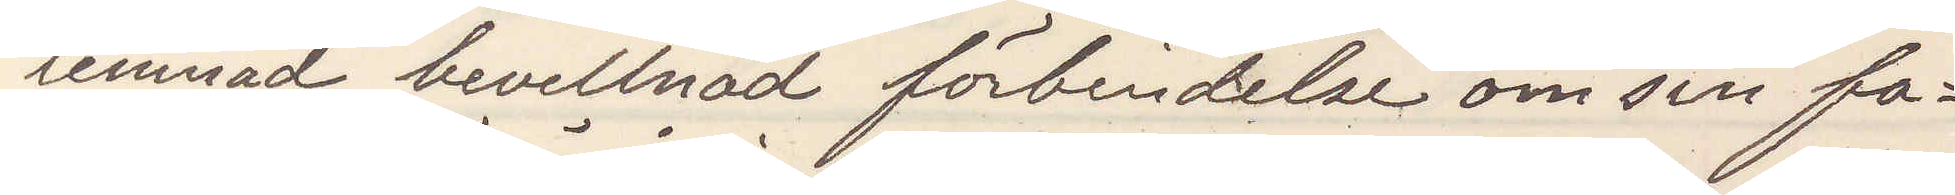lemnad bevillnad förbindelse om sin fa¬
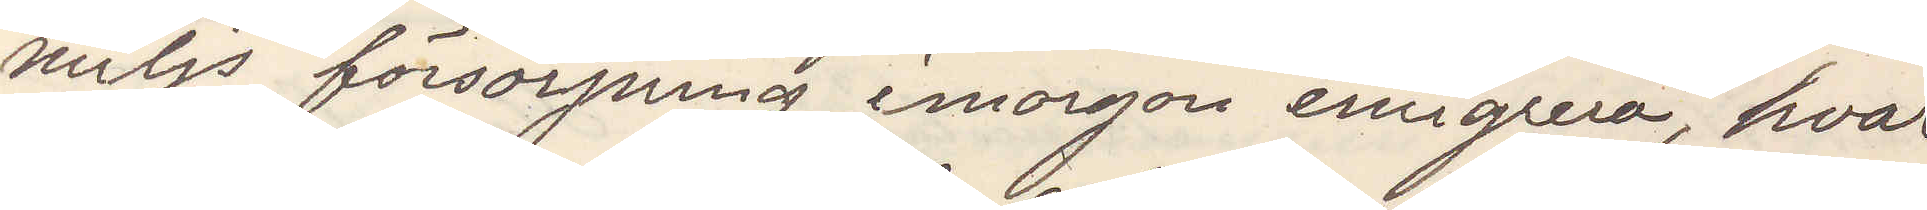miljs försörjning imorgon emigrera, hvar¬
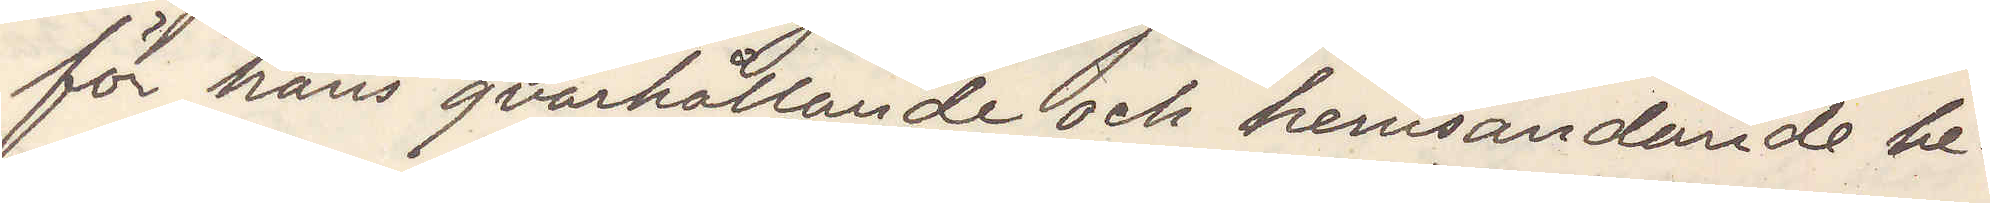för hans qvarhållande och hemsändande be¬
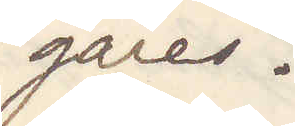gäres.
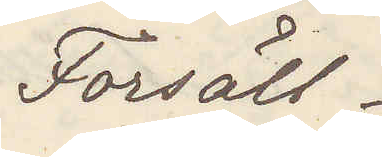Forsäll
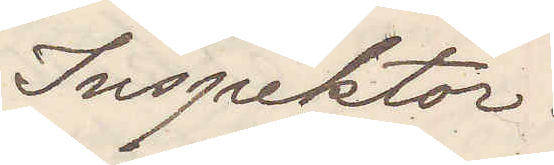Inspektor
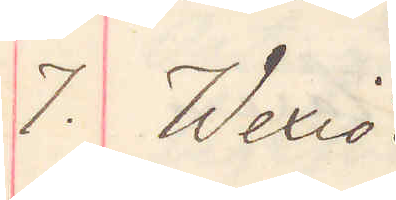7. Wexiö.
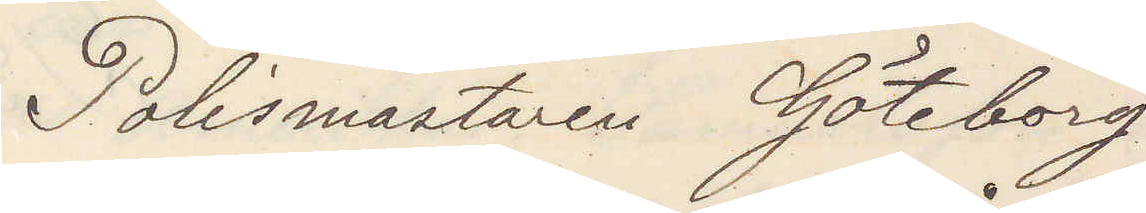Polismästaren Göteborg
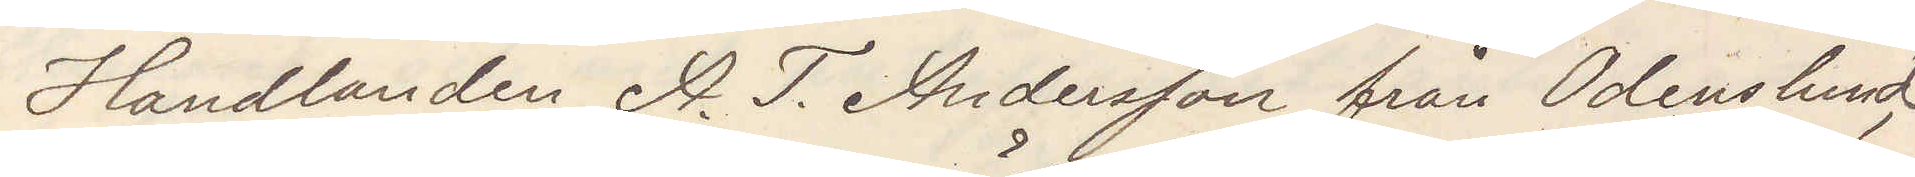Handlanden A. T. Andersson från Odenslund,
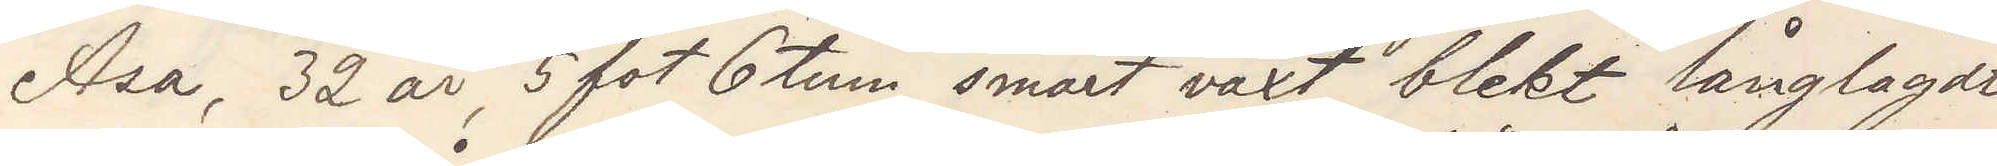Asa, 32 år, 5 fot 6 tum, smärt växt blekt långlagt
